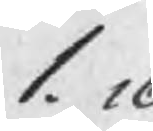1. 16
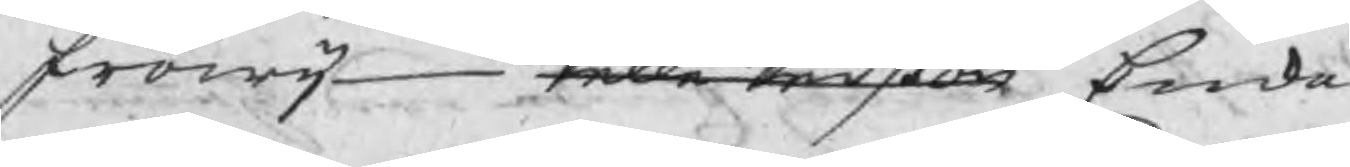Fröwij Pelle Perßon Enka
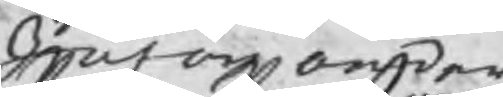Johan Anders
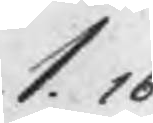1.16
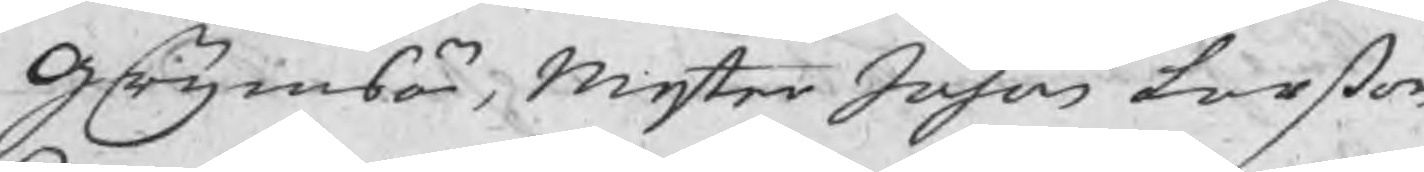Grijmsö, Mester Johan Larßon
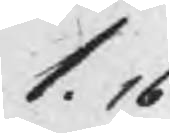1.16
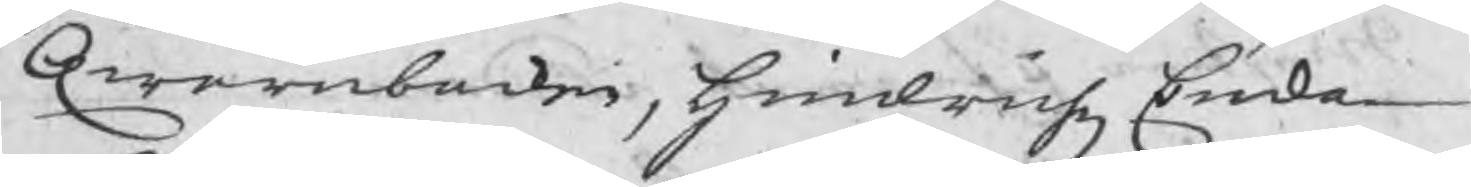Qwarnbacken, Hindrichz Enka
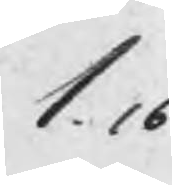1.16
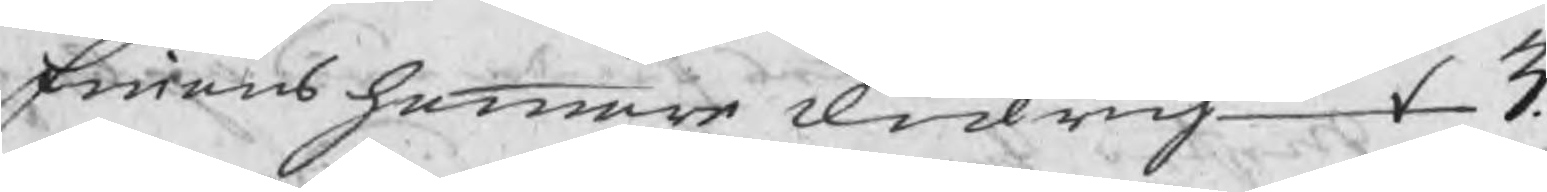Finnåns hammar Didrich 3.
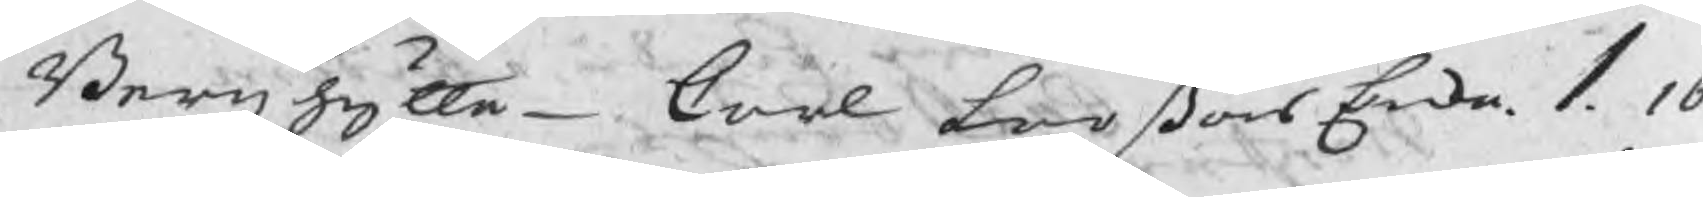Bergzhytte  Carl Larßons Enka 1. 16
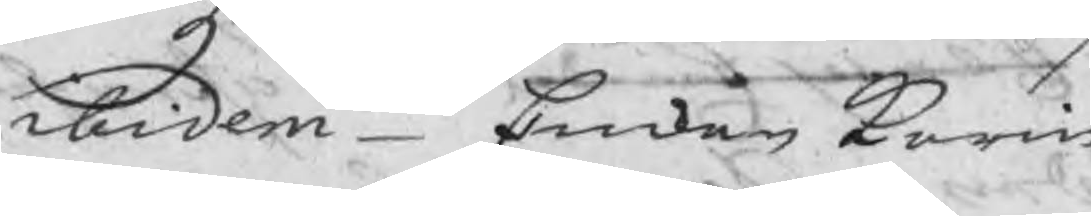ibidem  Enkan Karin
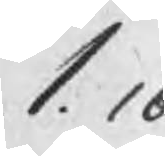1.16
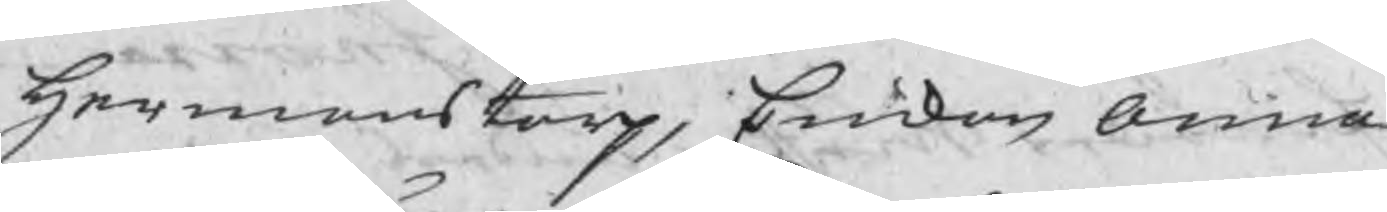Hermanstorp, Enckan Anna
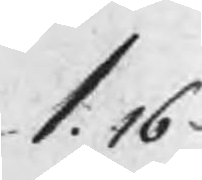1.16
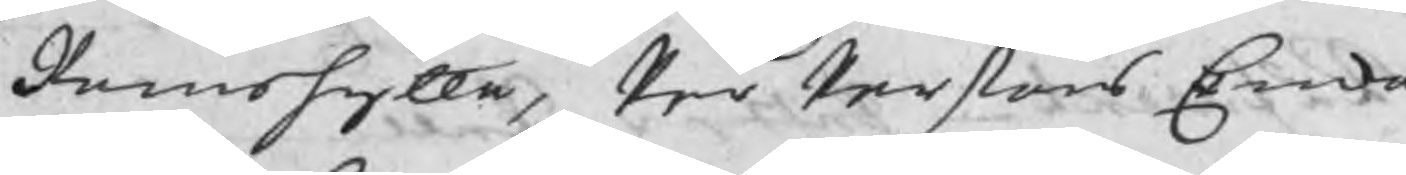Ramshytta, Per Perßons Enka
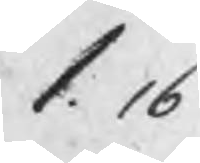1.16
